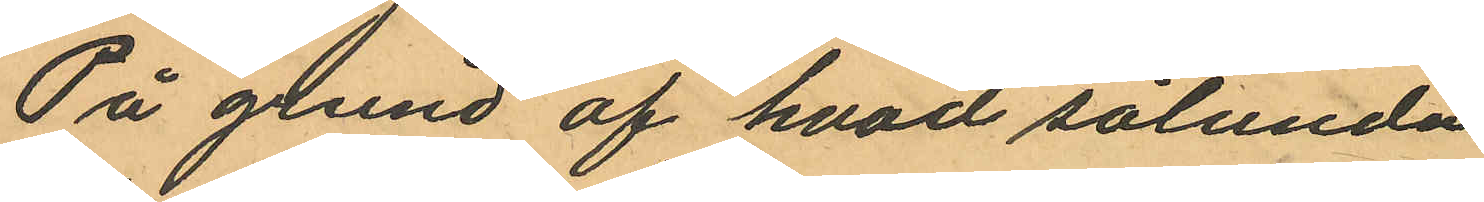På grund af hvad sålunda
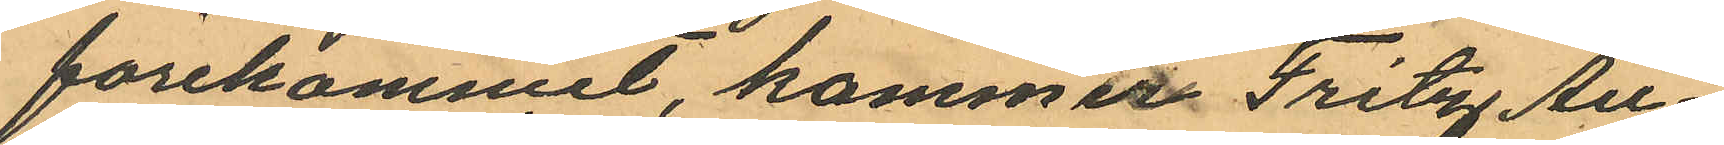förekommit, kommet Fritz Au¬
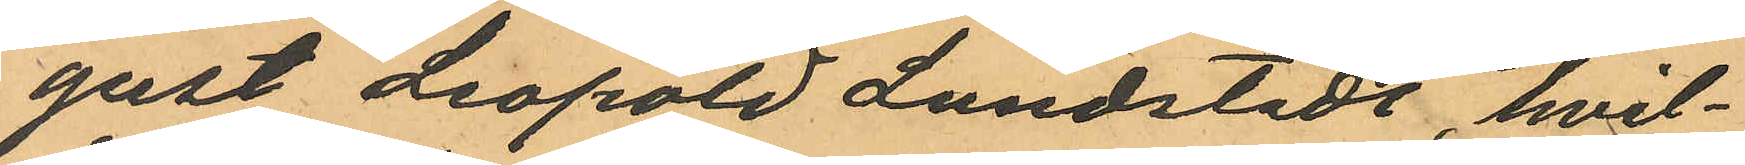gust Leopold Lundstedt, hvil¬
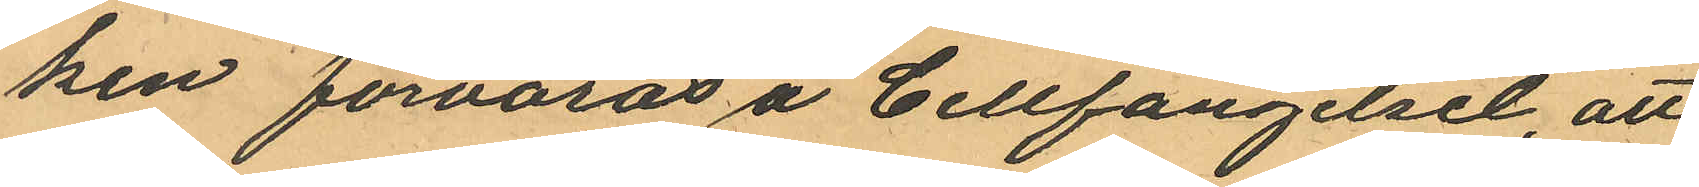ken förvaras å Cellfängelset, att
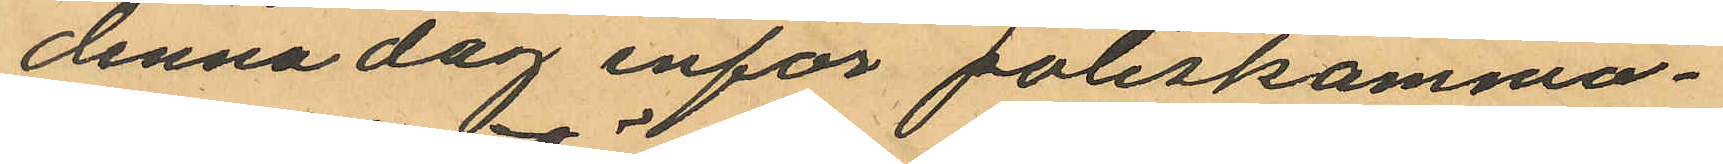denna dag inför poliskamma¬
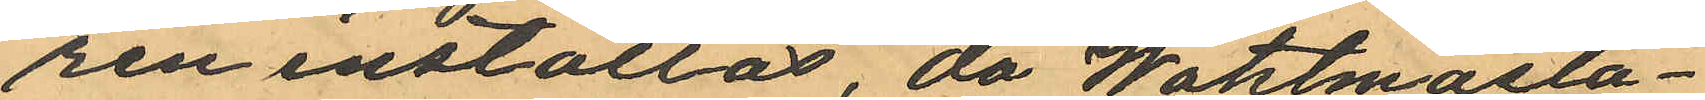ren inställas, då Waktmästa¬
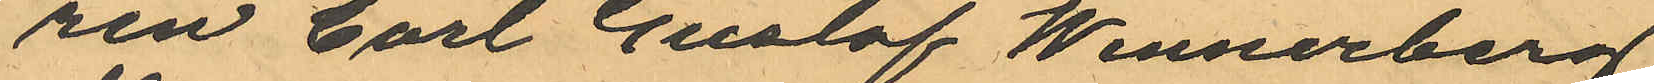ren Carl Gustaf Wennerberg,
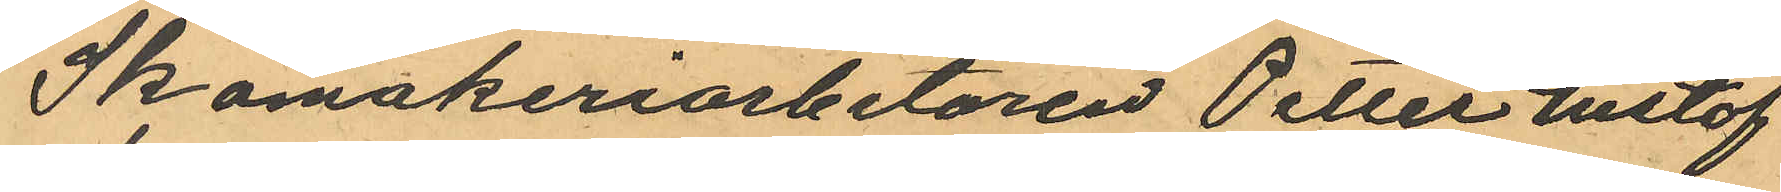Skomakeriarbetaren Peller Gustaf
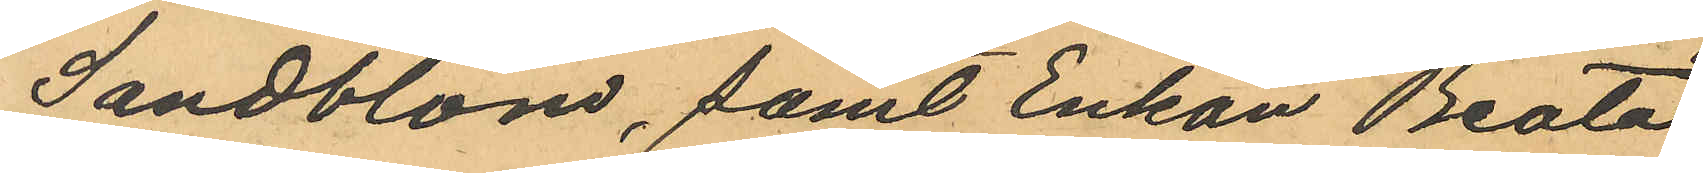Sandblom, samt Enkan Beata
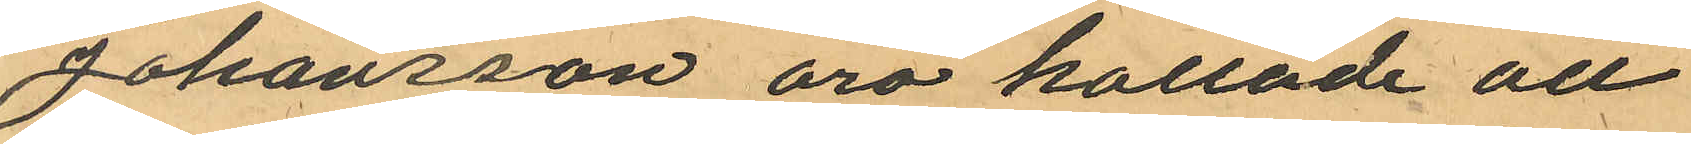Johansson äro kallade att
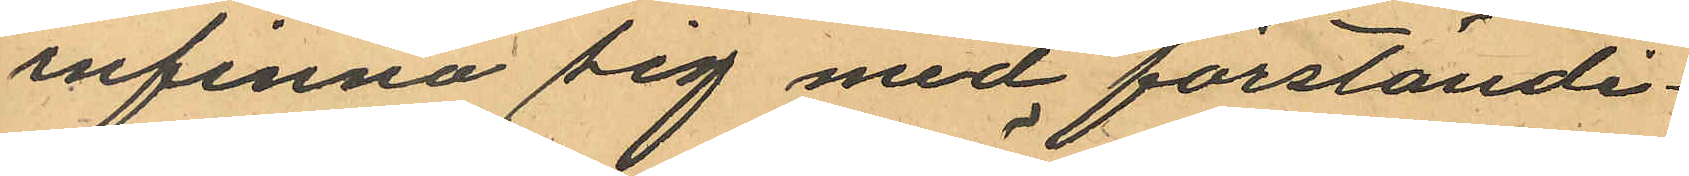infinna sig med förständi¬
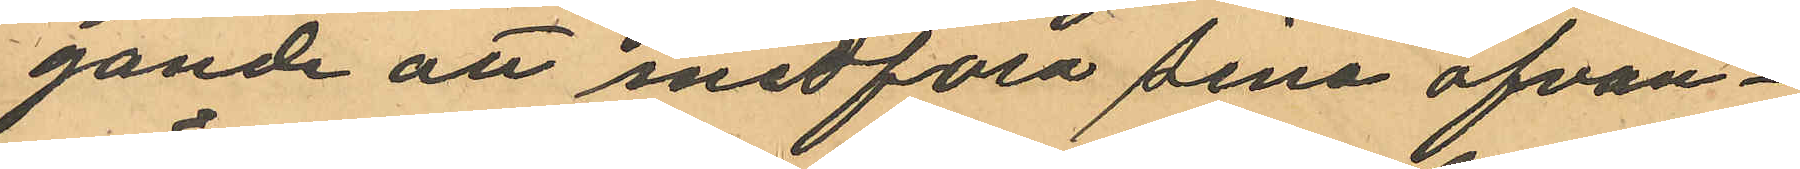gande att medföra sina ofvan¬
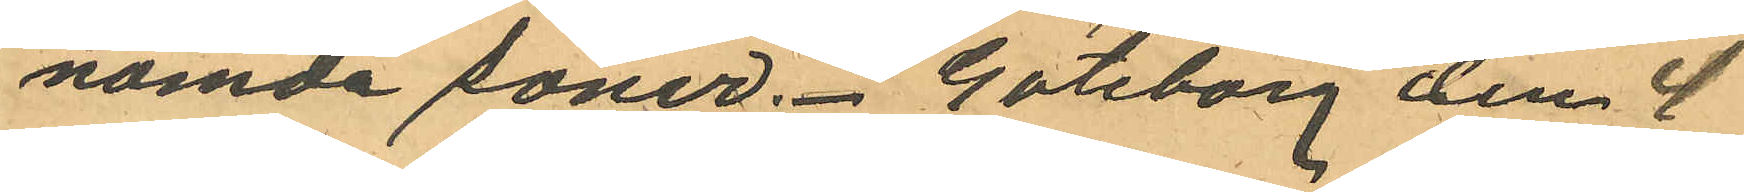nämde söner. Göteborg den 4
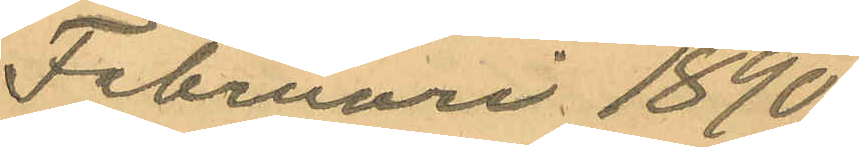Februari 1890.
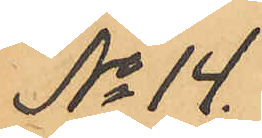No 14.
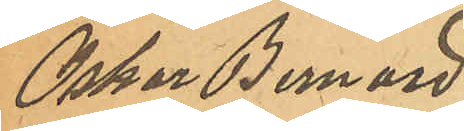Oskar Bernard
